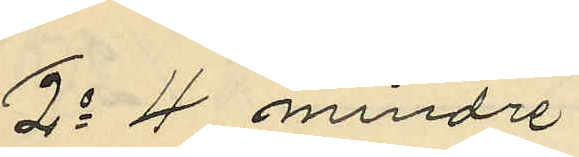2o 4 mindre
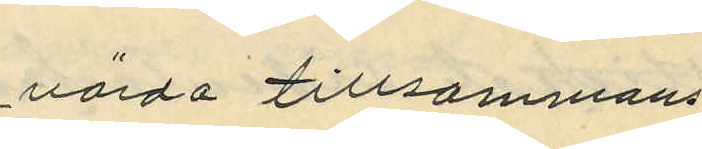värda tillsammans
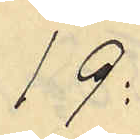19:
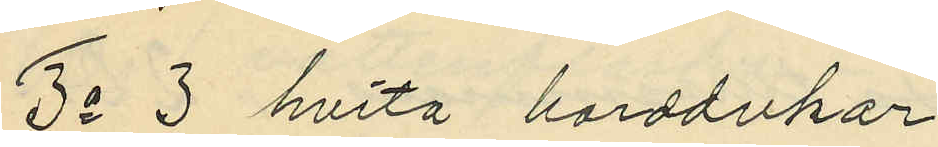3o 3 hvita handdukar
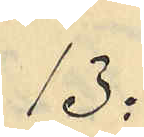13:
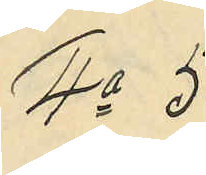4o 5
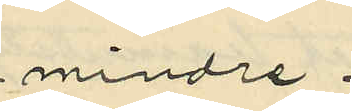mindre
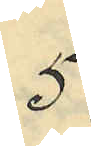5:
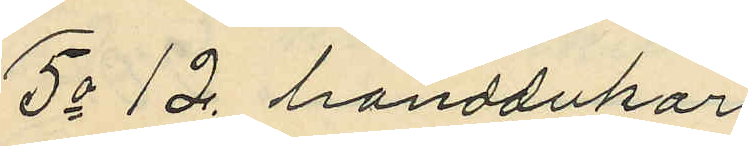5o 12 handdukar
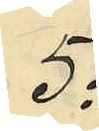5:
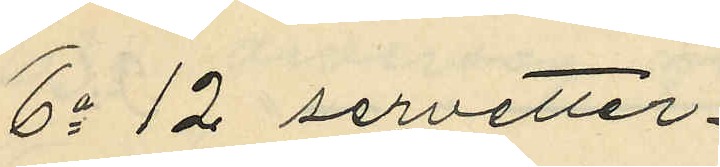6o 12 servetter
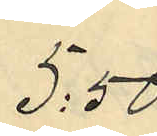5:50
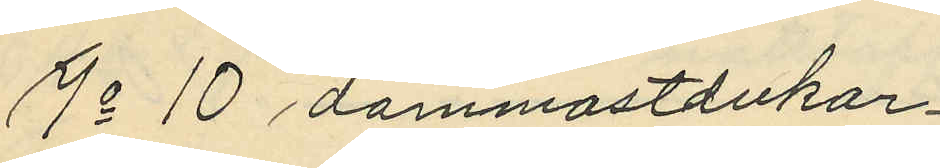7o 10 dammastdukar
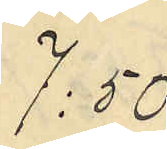7:50
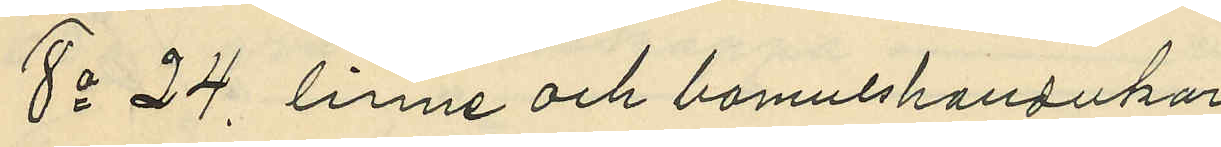8o 24 linne och bomullsdukar
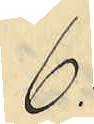6:
